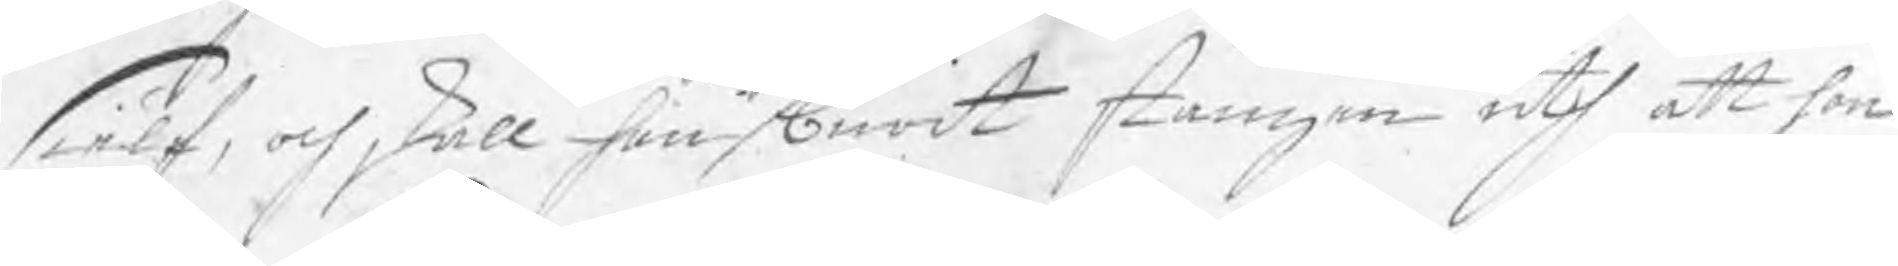sielf, och skall han burit stången uth att hon
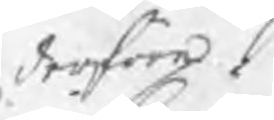derföre
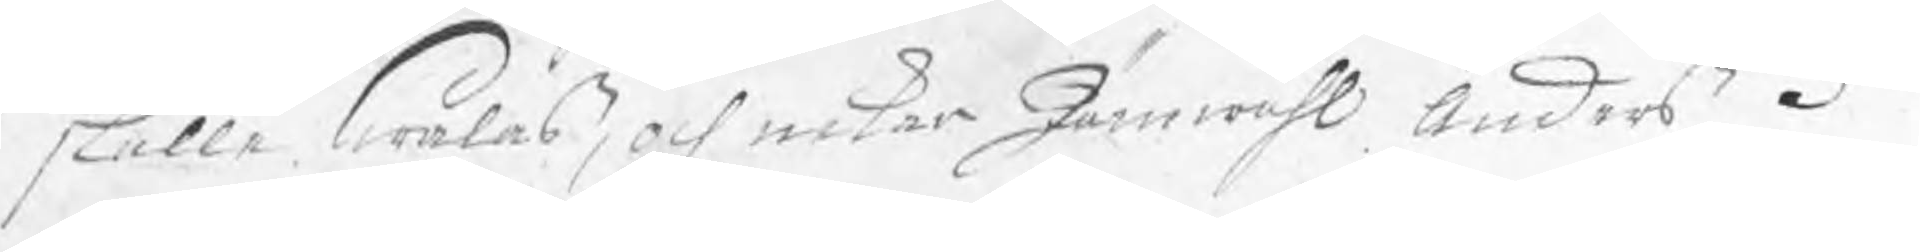skulle swalas, och nekar Jämwähl Anders 3to
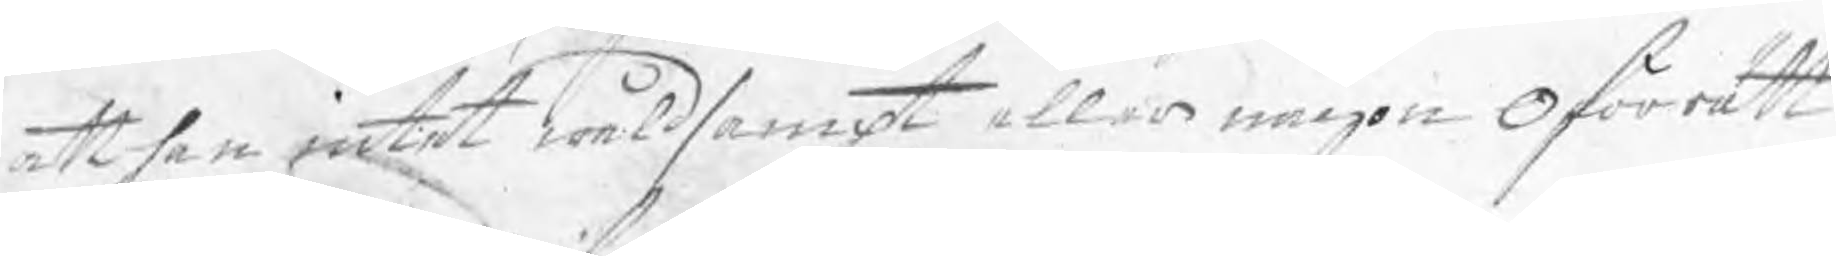att han intet wåldsampt eller någon oförrätt
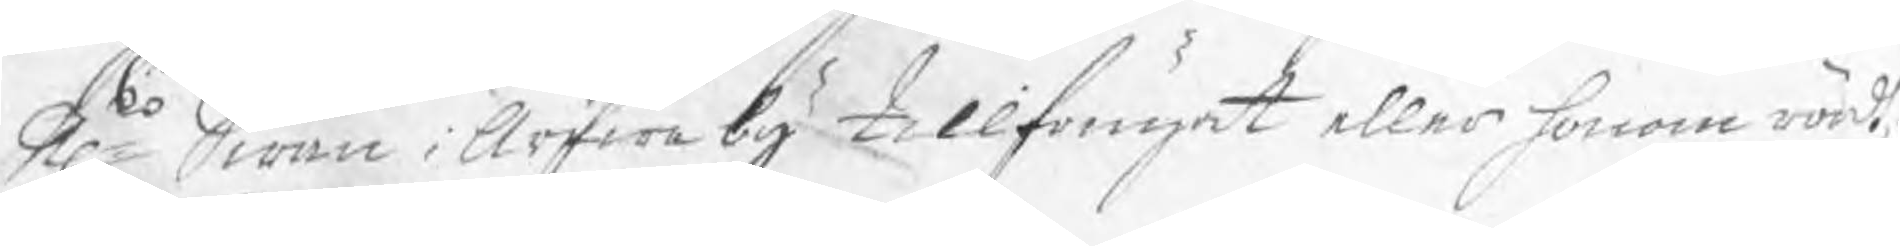Hr Swän i Arfweby tillfrugat eller honom rördt.
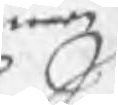war
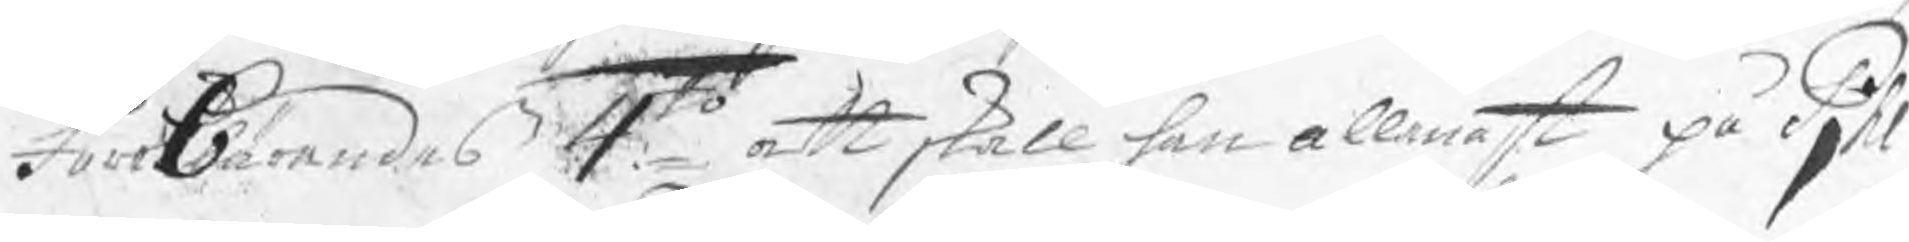förebärandes 4to att skall han allenast på Pjhl
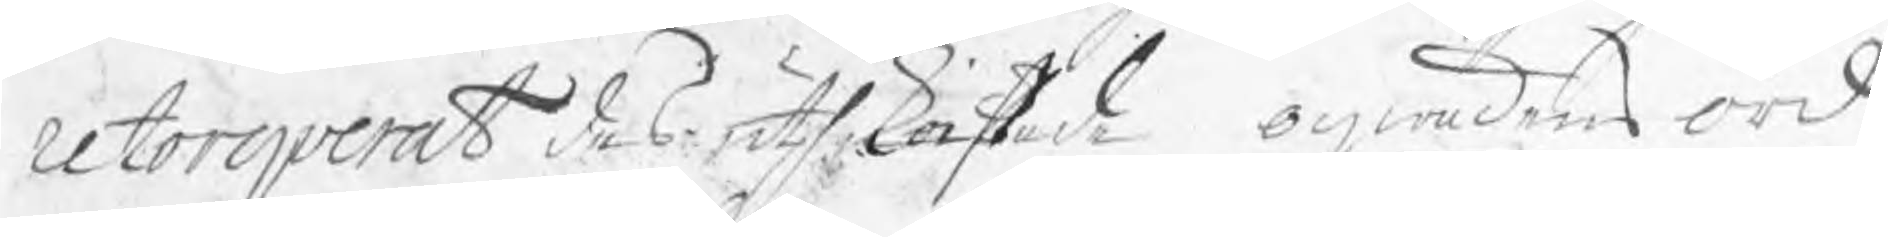retorqverat des uthkastade oqwädens ord
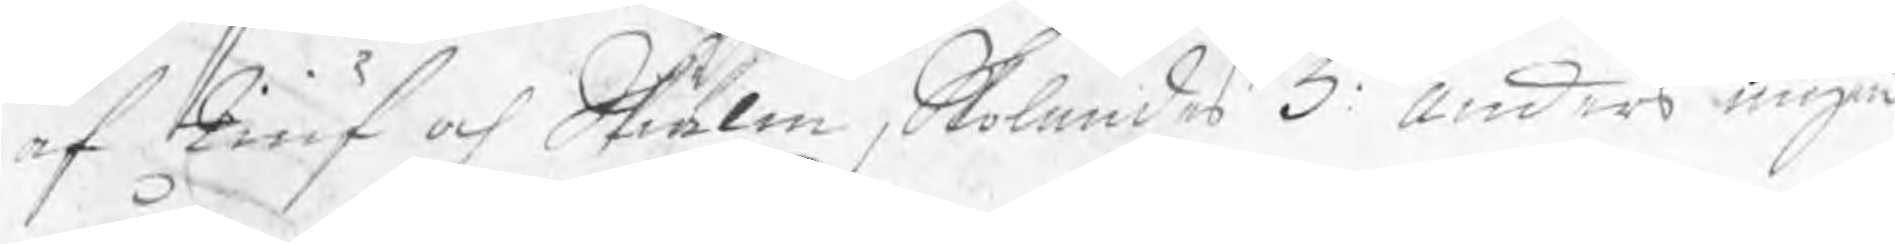af tiuf och Skiälm, skolandes 5:o Anders ingen
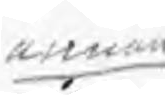annan
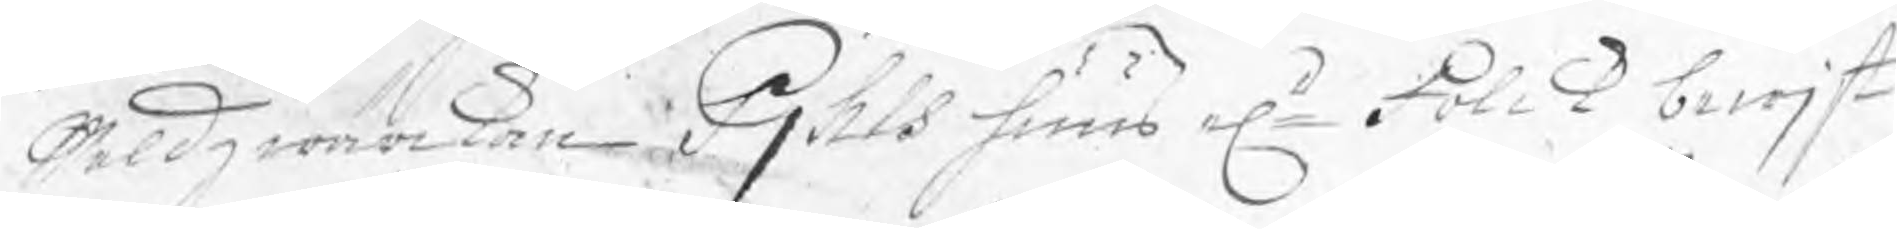wåldzwärkan Pjhls huus elr Folck bewjst
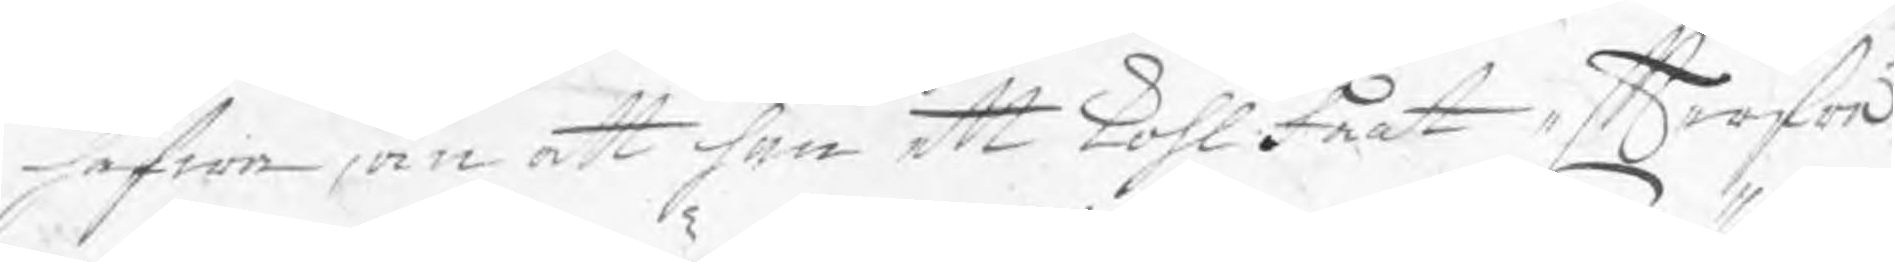hafwa, än att han ett kohlfaat efterfrå¬
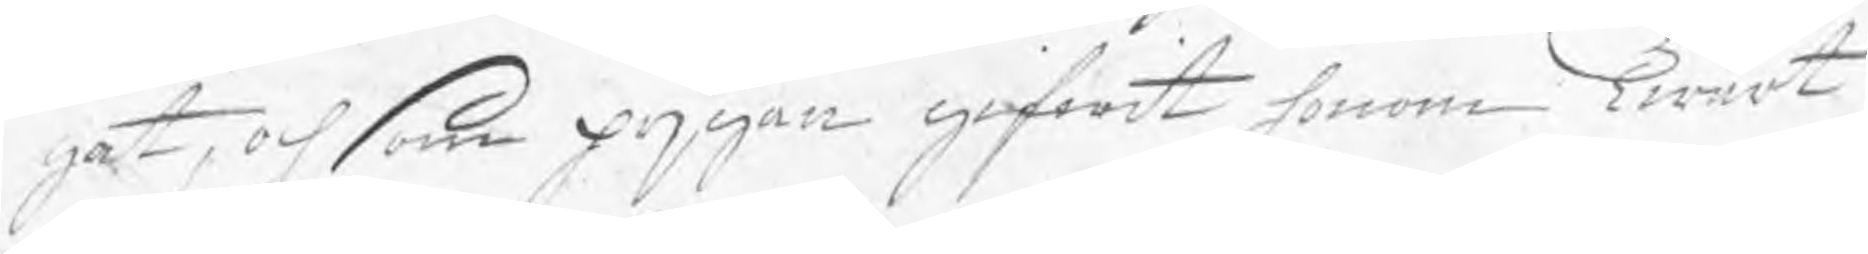gat, och som pijgan gifwit honom Twärt
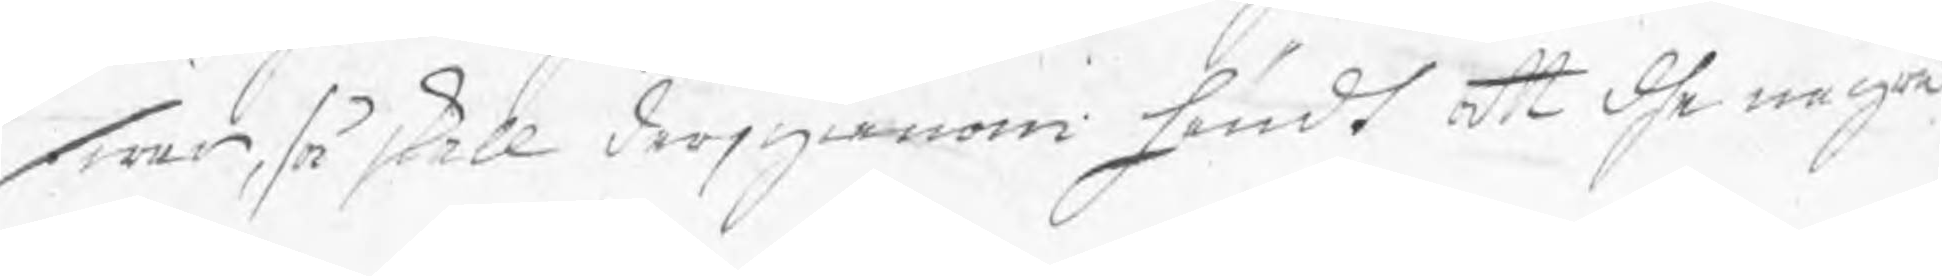swar, så skall derjgenom händt att dhe några
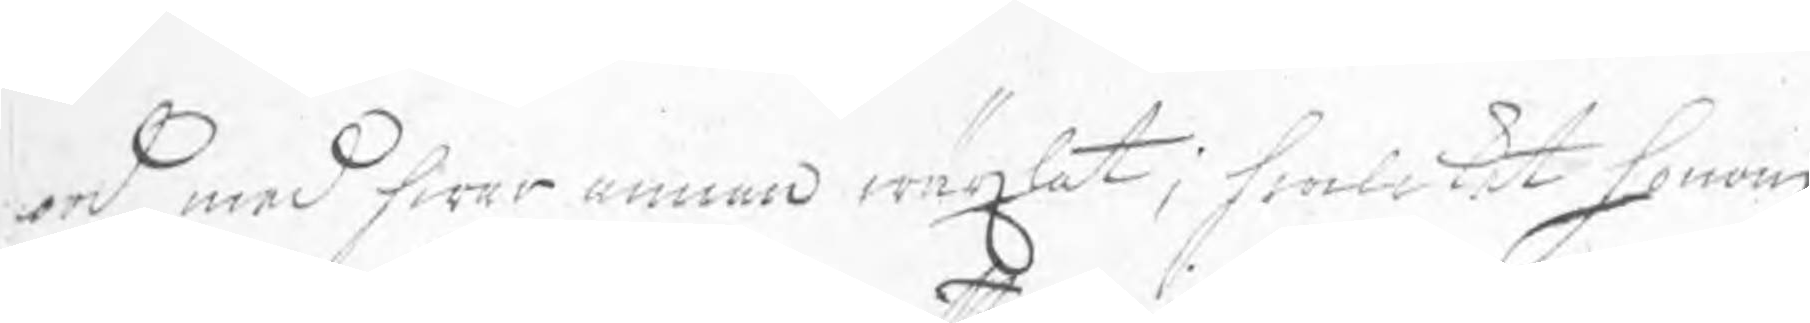ord med hwar annan wäxlat; hwilket honom
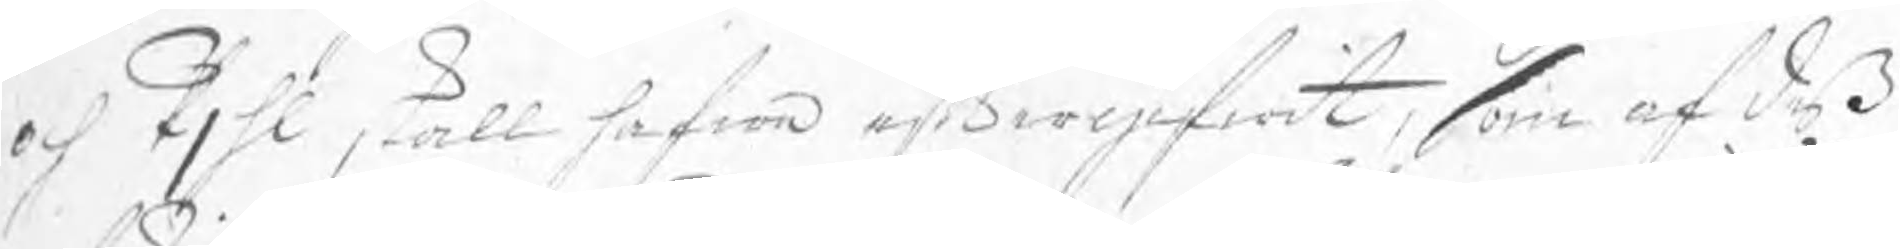och pjhl skall hafwa eftergifwit, som af deß
